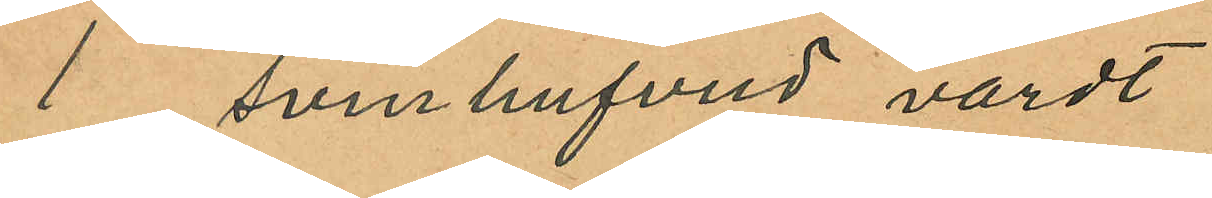i svinhufvud värdt
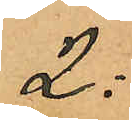2:
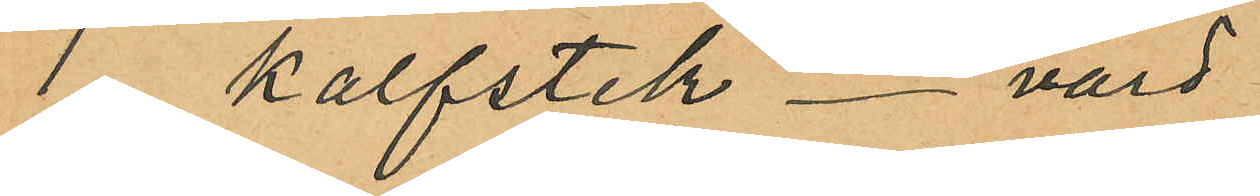1 kalfstek värd
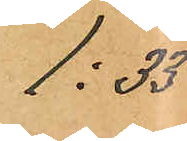1:33
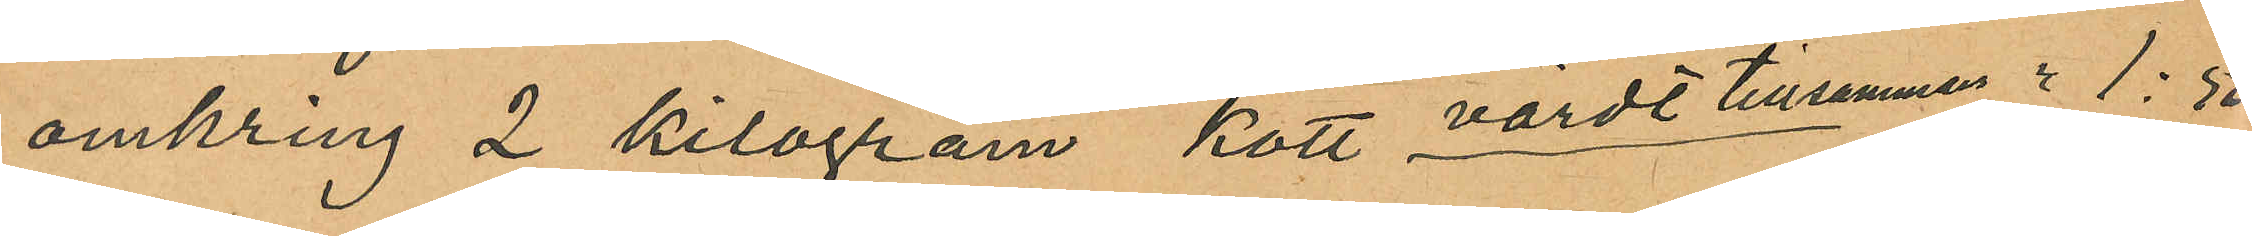omkring 2 kilogram kött, värdt tillsammans " 1:50
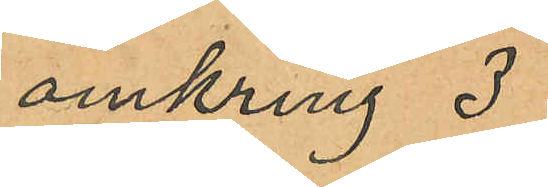omkring 3
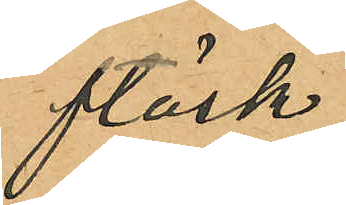fläsk
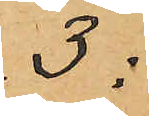3:
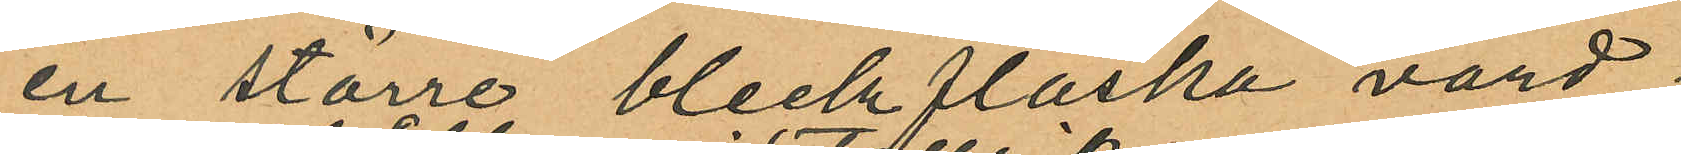en större bleckflaska värd;
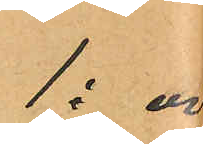1:00
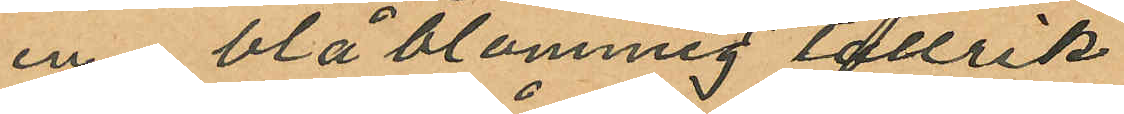en blå blommig tallrik
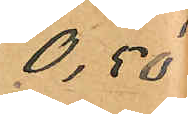0,50
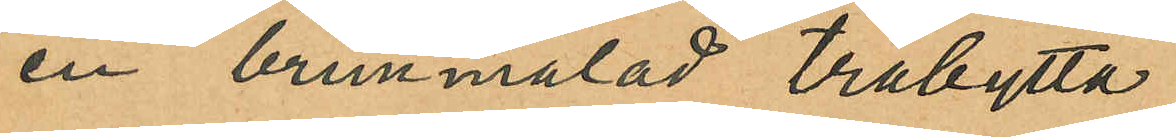en brun målad träbytta
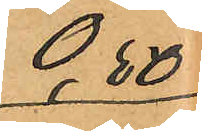0,50
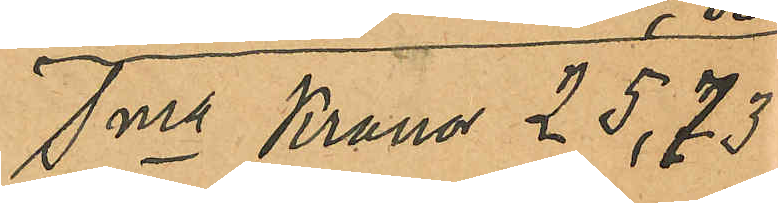Sma Kronor 25,73
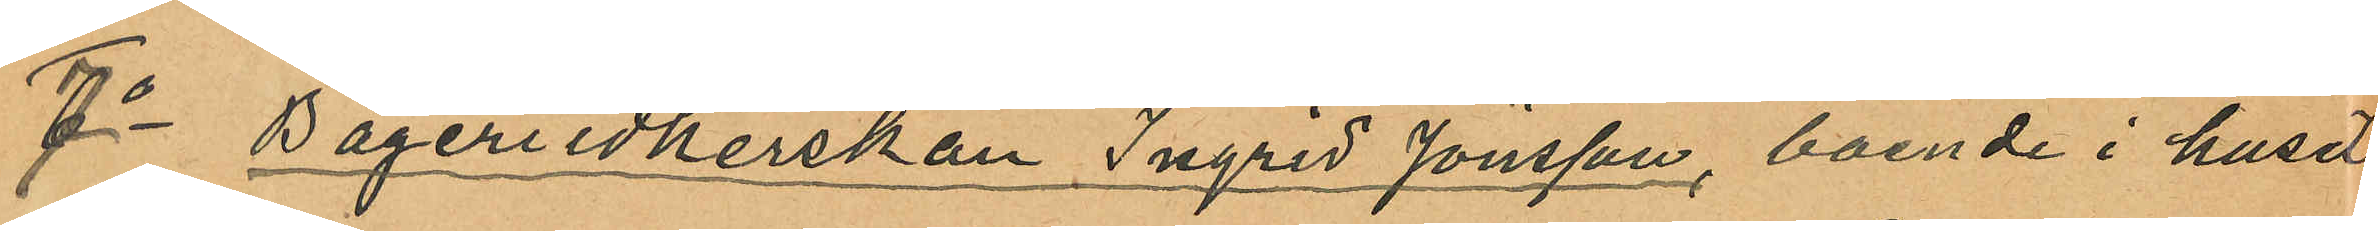7o Bageriidkerskan Ingrid Jönsson, boende i huset
